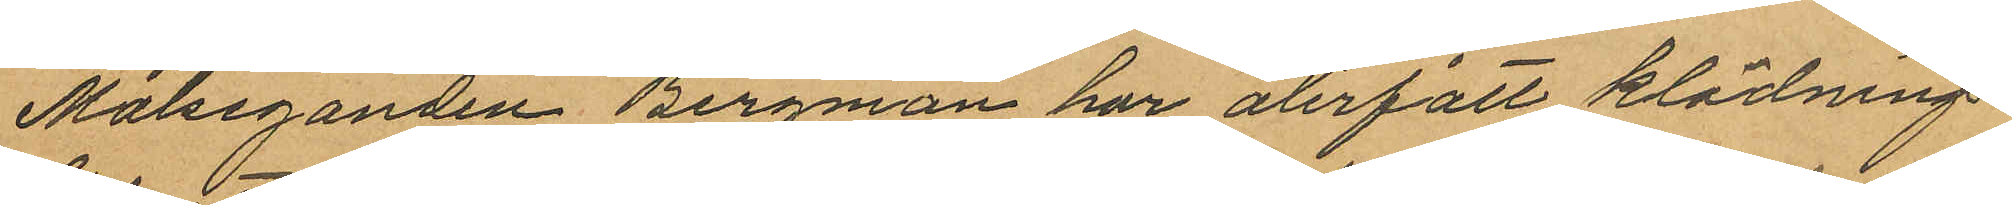Målseganden Bergman har återfått klädnings¬
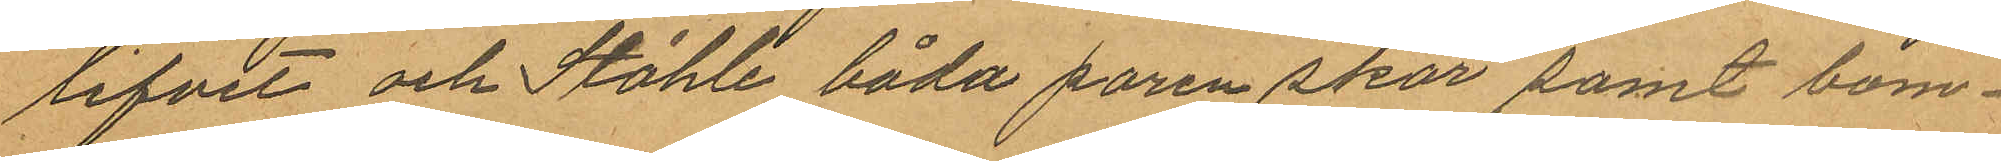lifvet och Ståhle båda paren skor samt bom¬
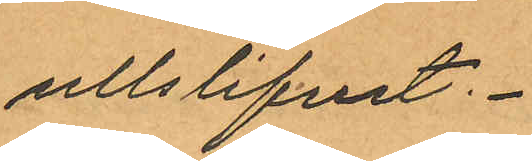ulllslifvet.
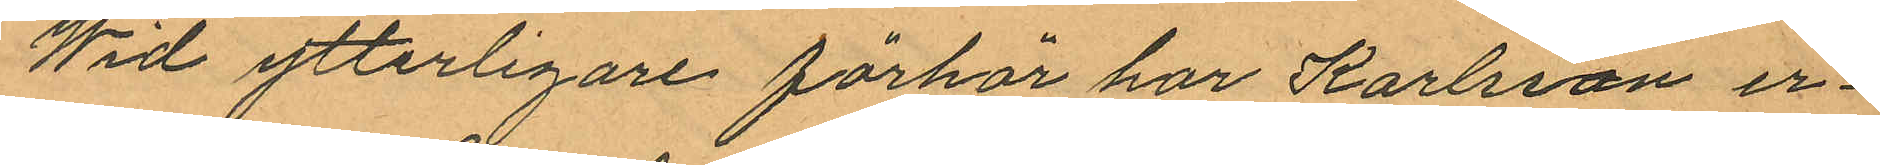Wid ytterligare förhör har Karlsson er¬
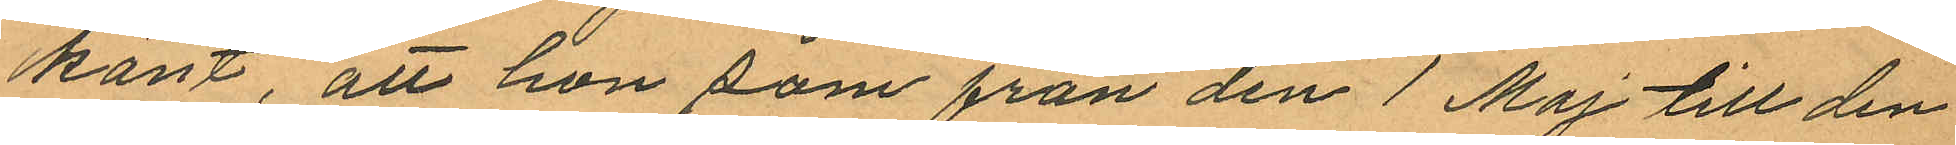känt, att hon som från den 1 Maj till den
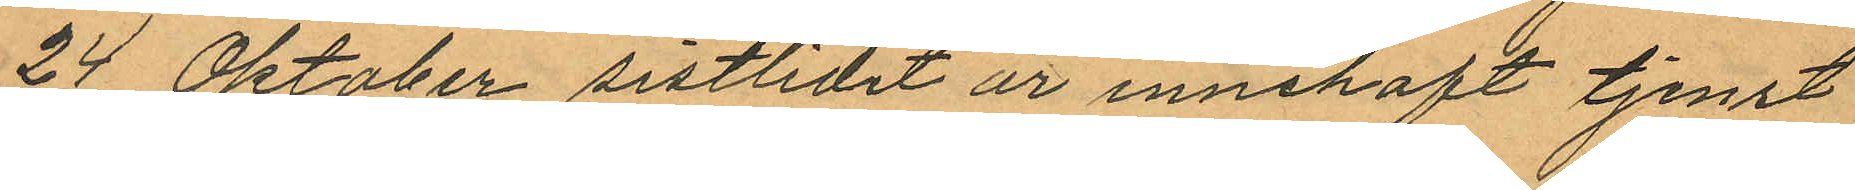24 Oktober sistlidet år innehaft tjenst
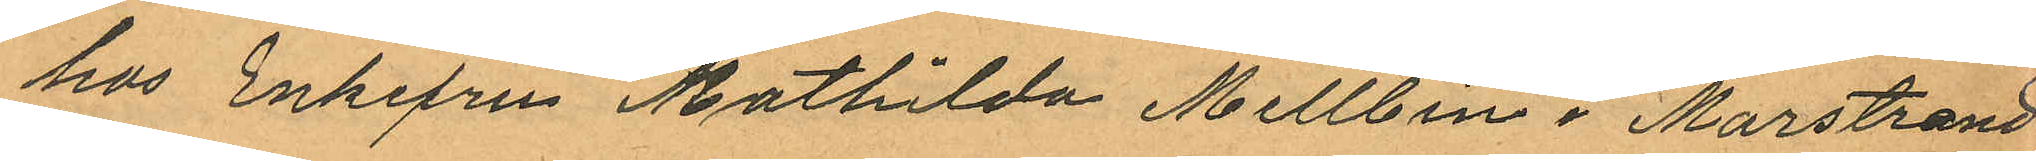hos Enkefru Mathilda Mellbin i Marstrand
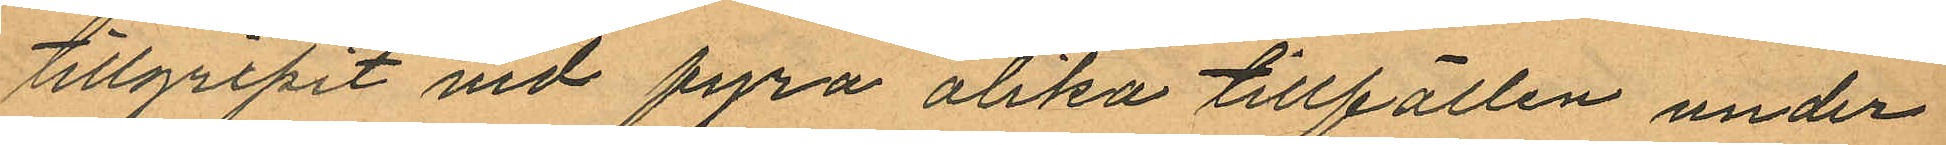tillgripit vid fyra olika tillfällen under
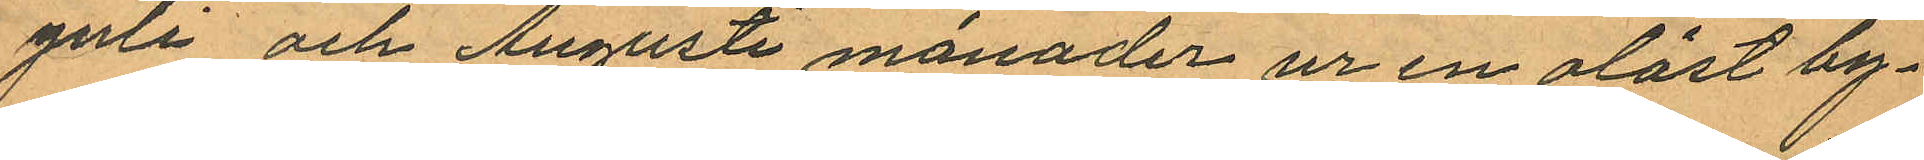Juli och Augusti månader ur en olåst by¬
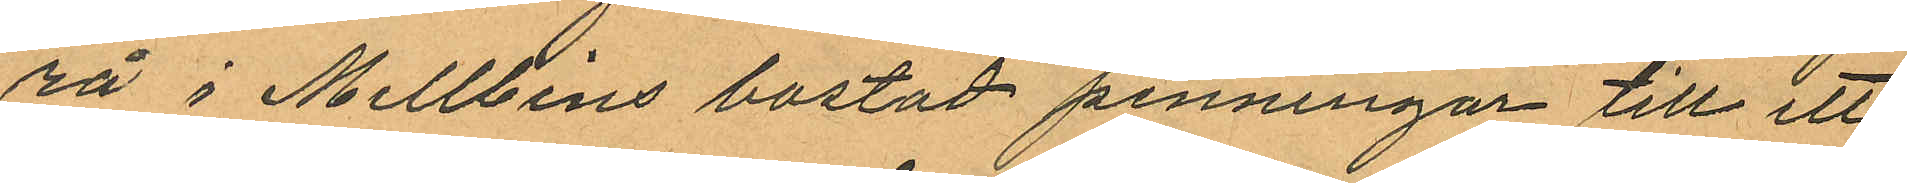rå i Mellbins bostad penningar till ett
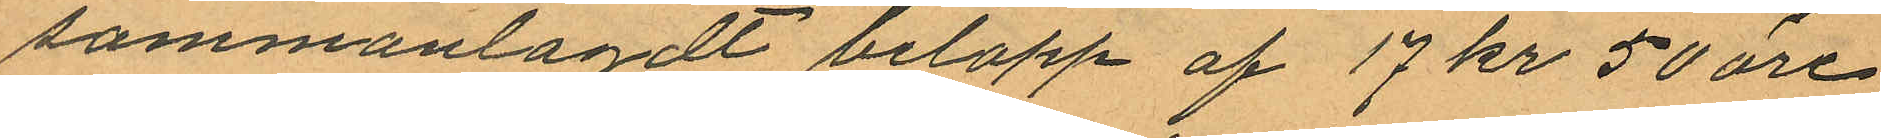sammanlagdt belopp af 17 kr 50 öre
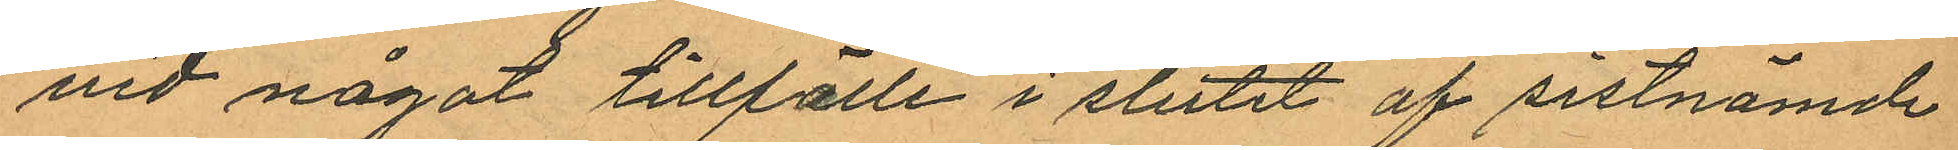vid något tillfälle i slutet af sistnämde
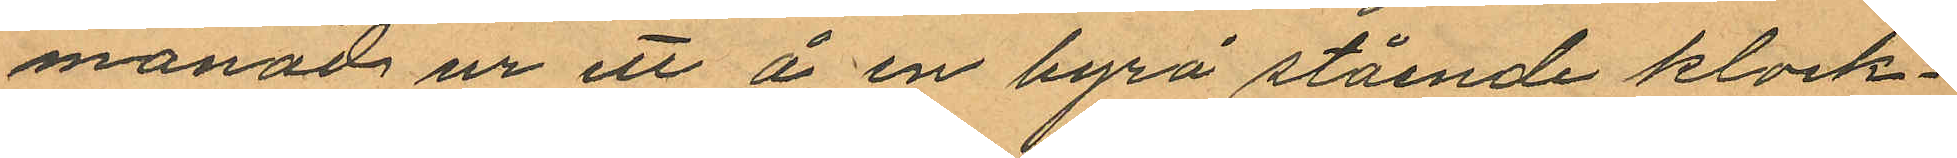månad ur ett å en byrå stående klock¬
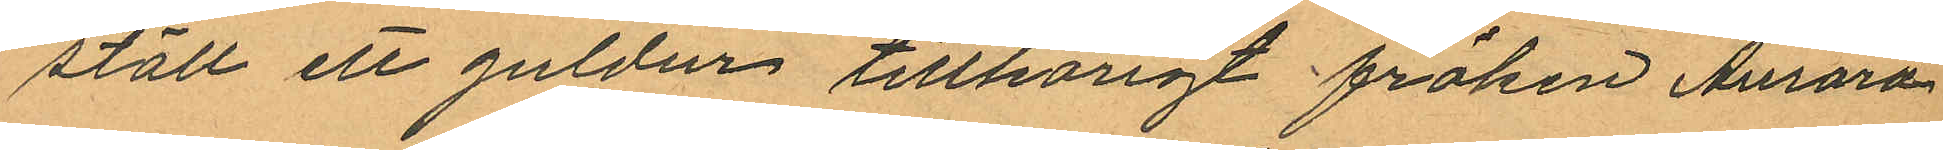ställ ett guldur tillhörigt fröken Aurora
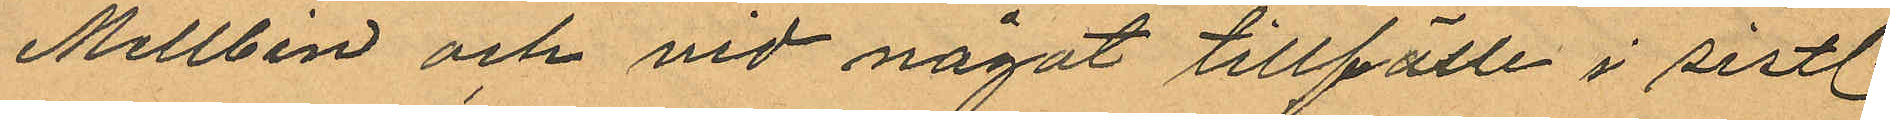Mellbin och vid något tillfälle i sistl.
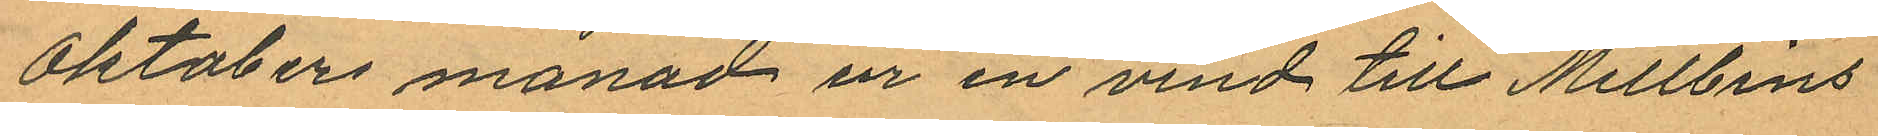Oktober månad ur en vind till Mellbins
